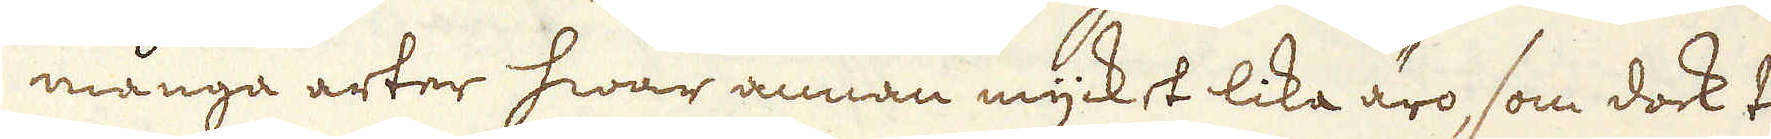många arter hwar annan mycket lika äro, som dock til
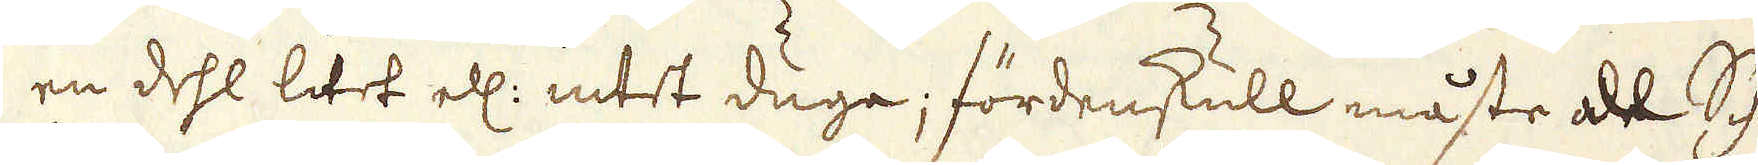en dehl litet ell: intet duga; fördenskull måste all Schie-
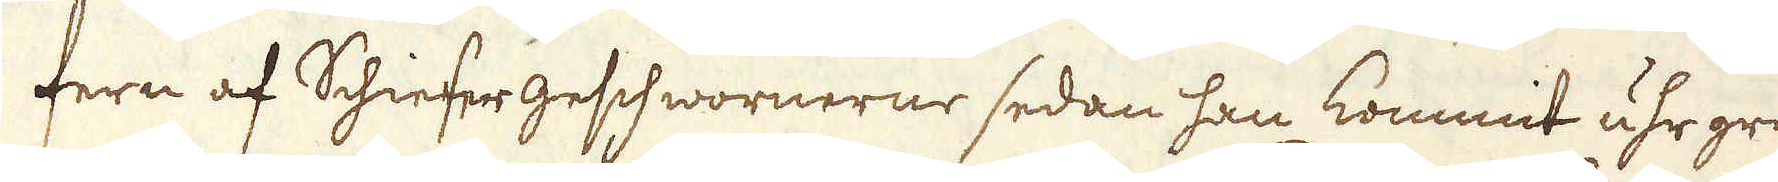fern af Schiefer geschwornerne sedan han kommit uhr gruf-
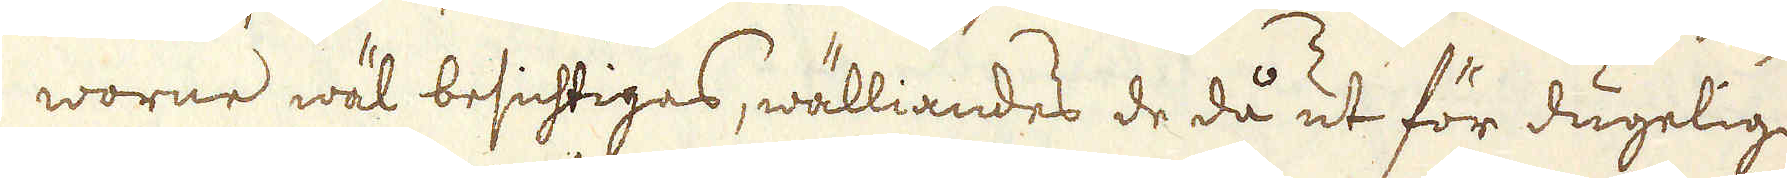worne wäl besichtigas, wälliandes de då ut för dugeligit
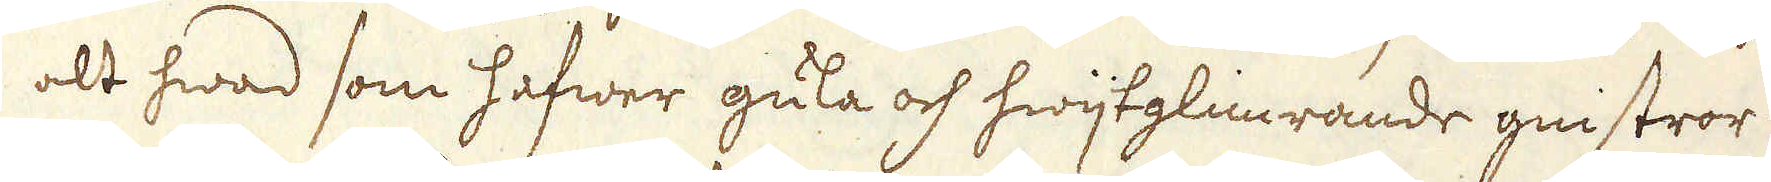alt hwad som hafwer gula och hwijtglimrande gnistror i sig,
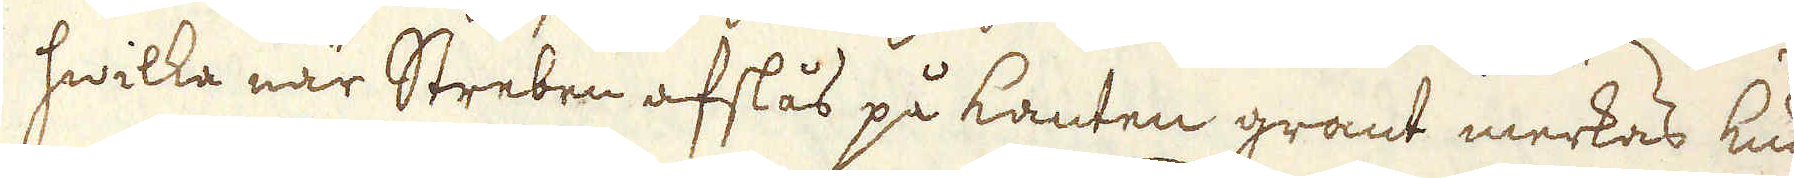hwilka när Streben afslås på kanten grant merkas kun-
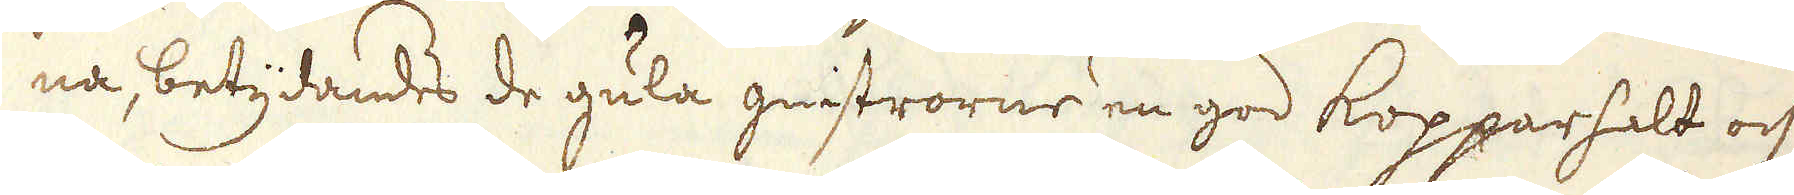na, betydandes de gula gnistrorne en god Kopparhalt och de
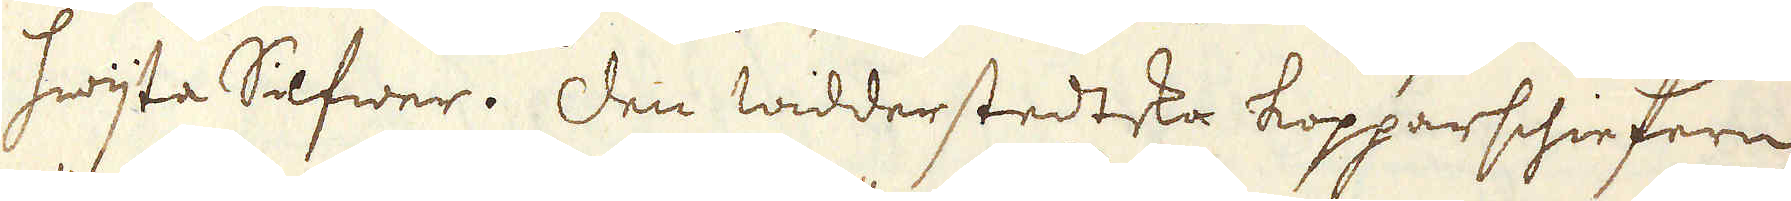hwijta Silfwer. Den widderstedtska kopparschiefern
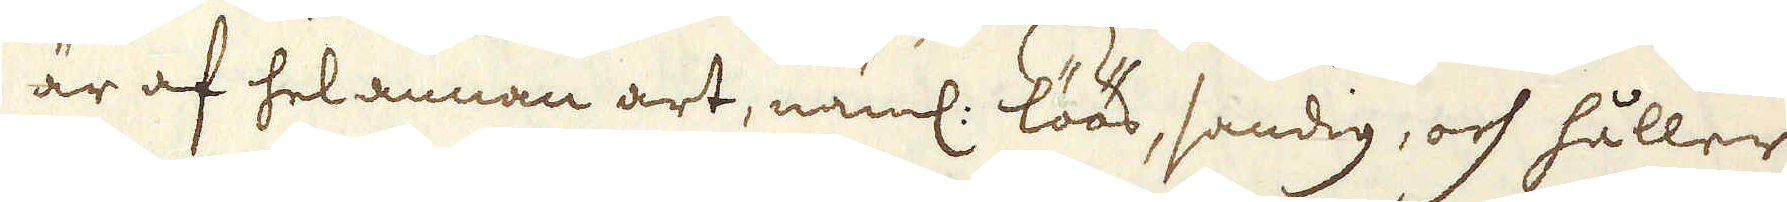är af hel annan art, näml: löös, sandig, och håller
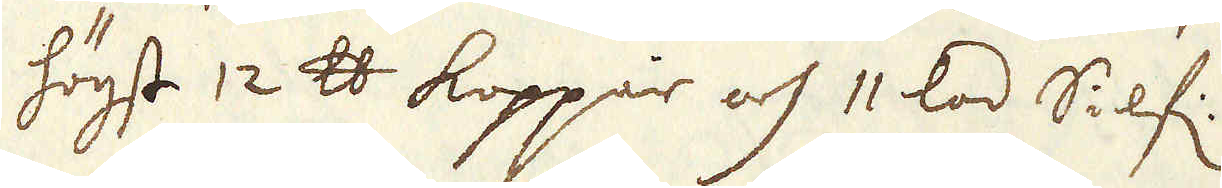högst 12 skålpund Koppar och 11 lod Silf:.
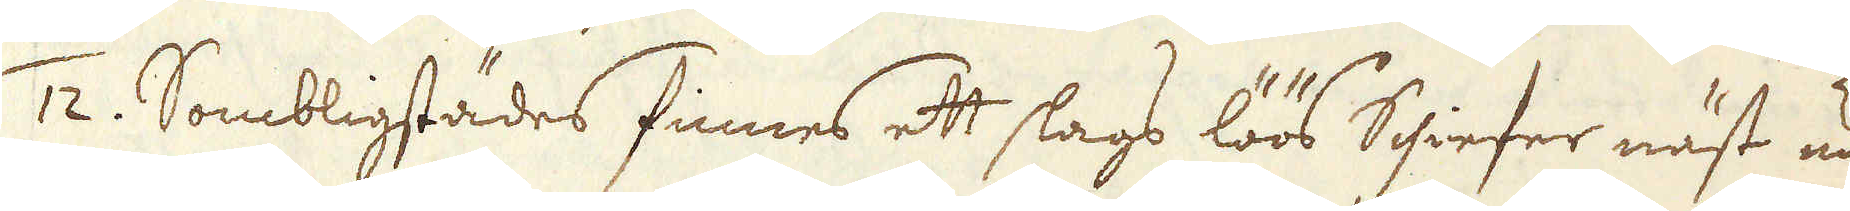/12. Sombligstädes finnes ett slags löös Schiefer näst under
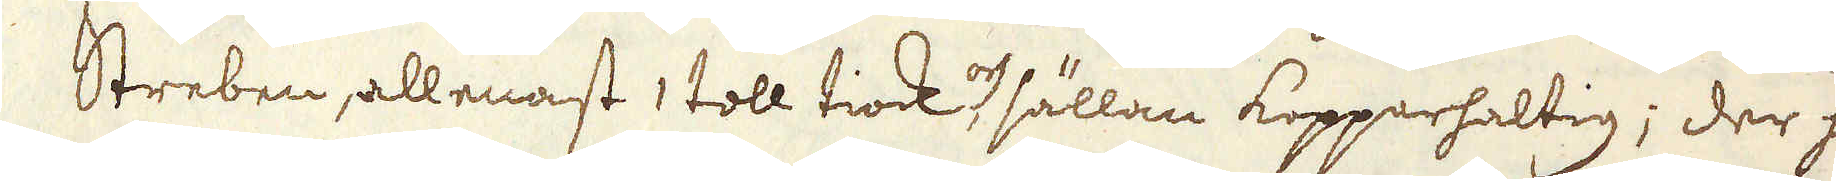Streben, allenast 1 toll tiock, och sällan Kopparhaltig; der han
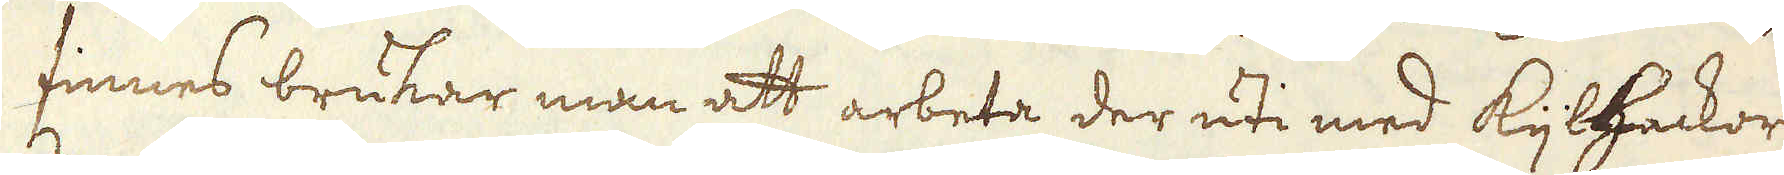finnes brukar man att arbeta der uti med Kijlhackorne
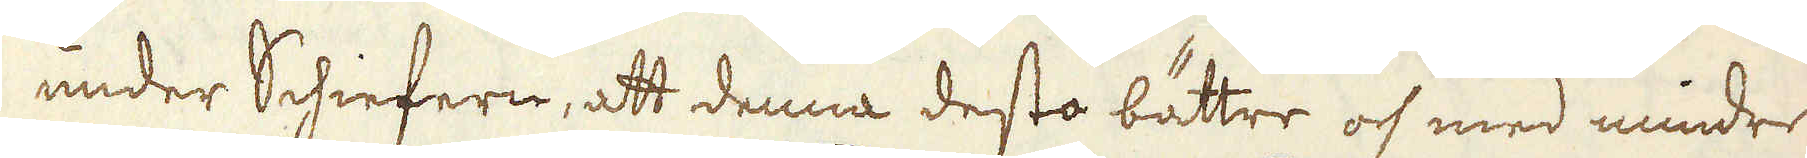under Schiefern, att denna desto bättre och med mindre
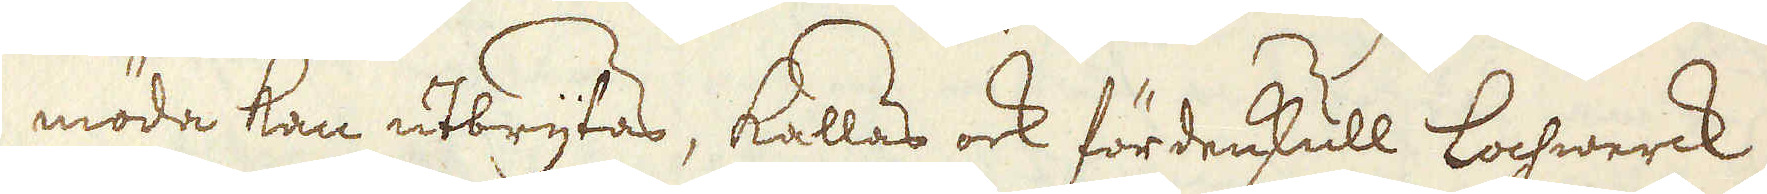möda kan utbrytas, kallas ock fördenskull Lochwerck.
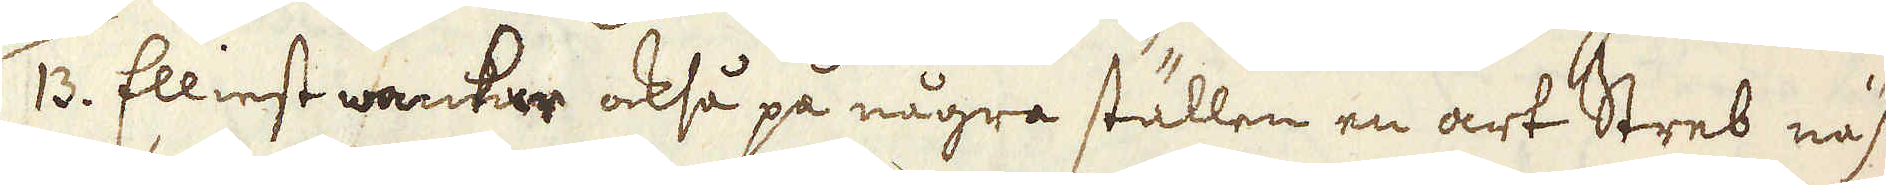/13. Elliest wankar också på några ställen en art Streb näst-
